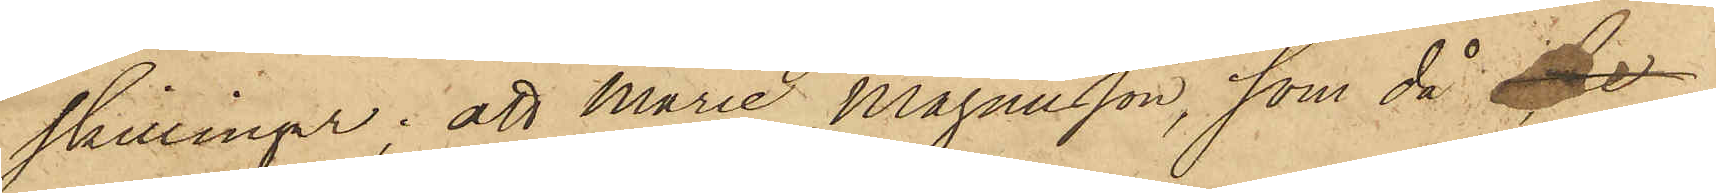skillingar; att Marie Magnusson, som då bl
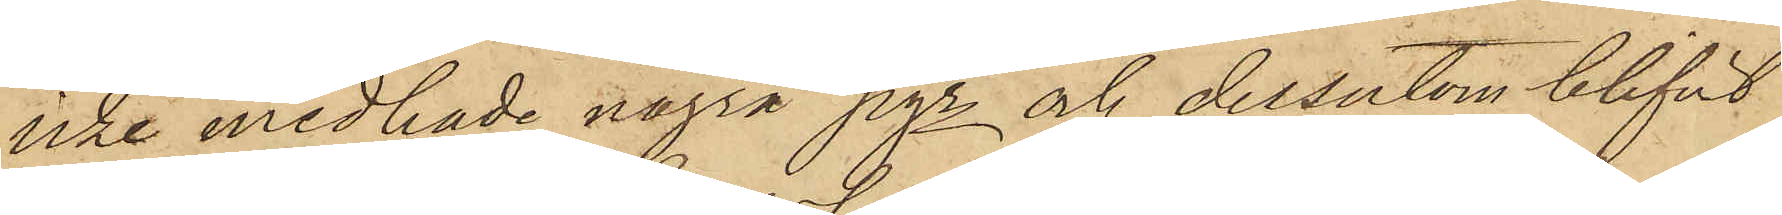icke medhade några pgr och dessutom blifvit
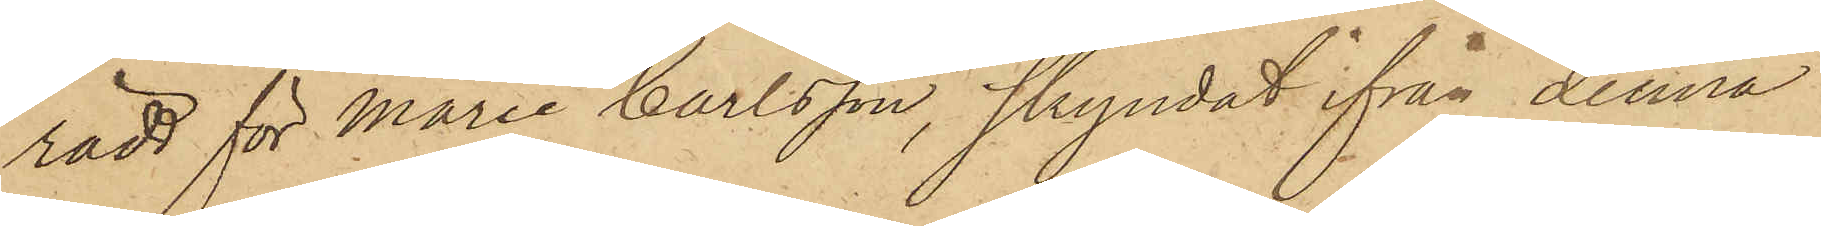rädd för Marie Carlsson, skyndat ifrån denna
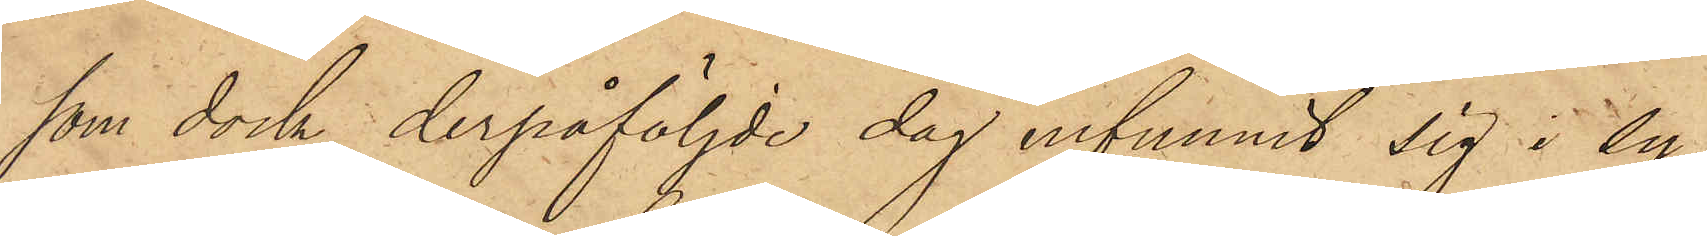som dock derpåföljde dag infunnit sig i Sy¬
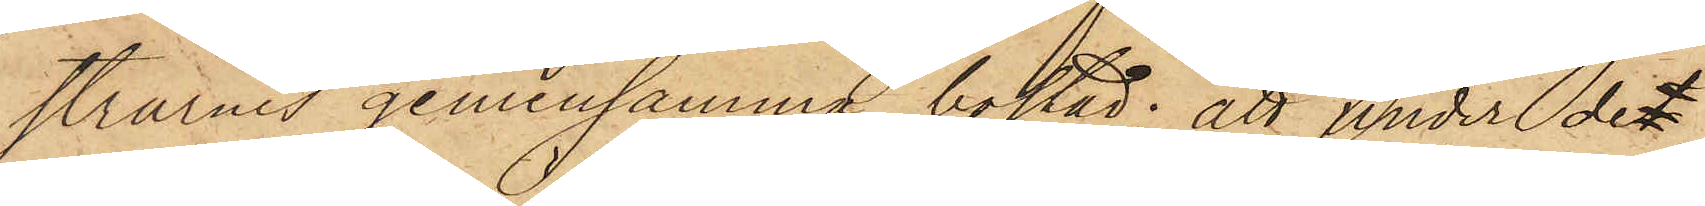strarnes gemensamma bostad; att under det
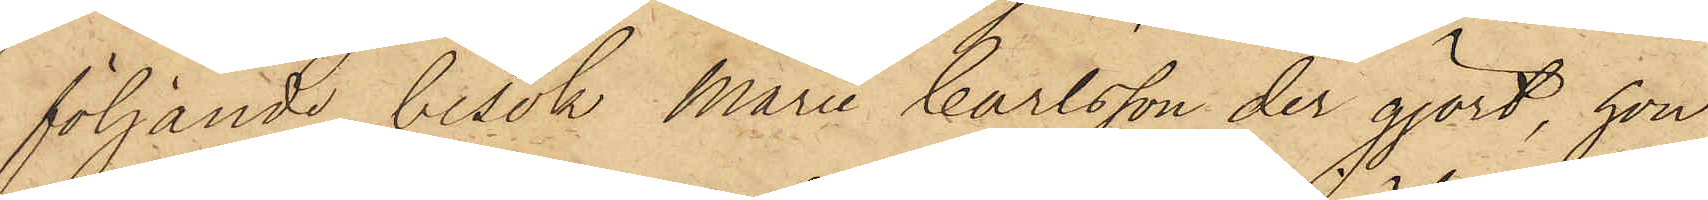följande besök Marie Carlsson der gjort, hon
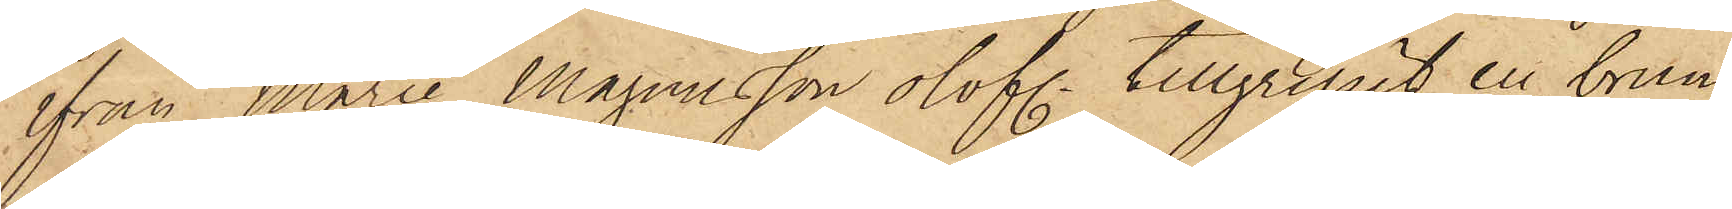ifrån Maria Magnusson olofl. tillgripit en brun¬
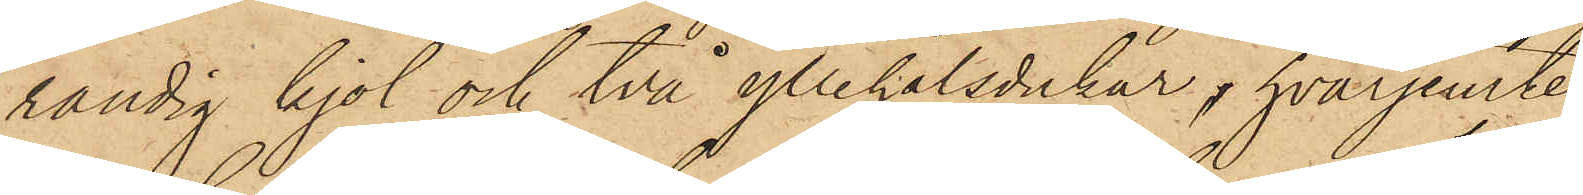randig kjol och två yllehalsdukar, hvarjemte
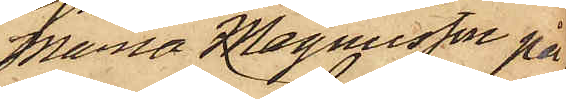Maria Magnusson på
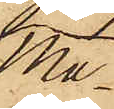Ma¬
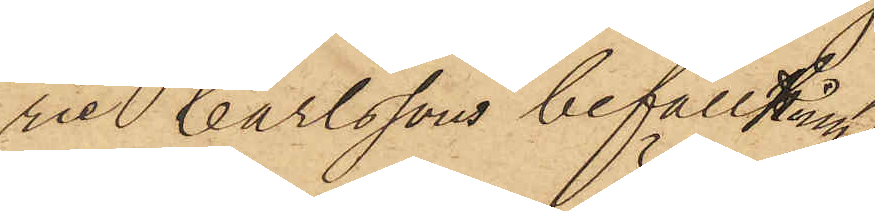rie Carlssons befallning
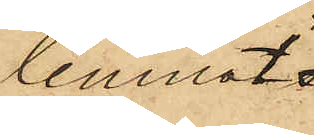lemnat
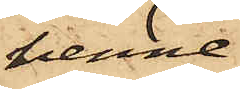henne
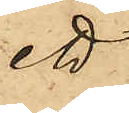ett
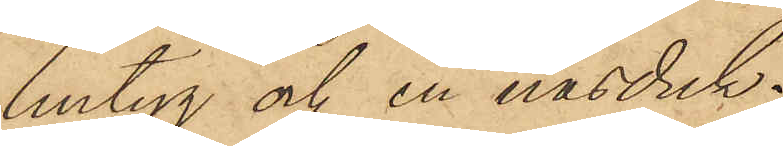lintyg och en näsduk;
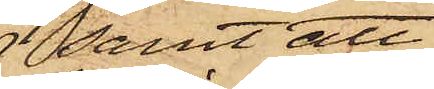samt att
